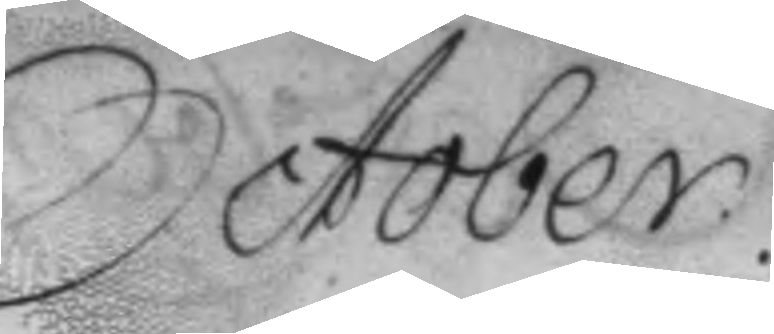October.
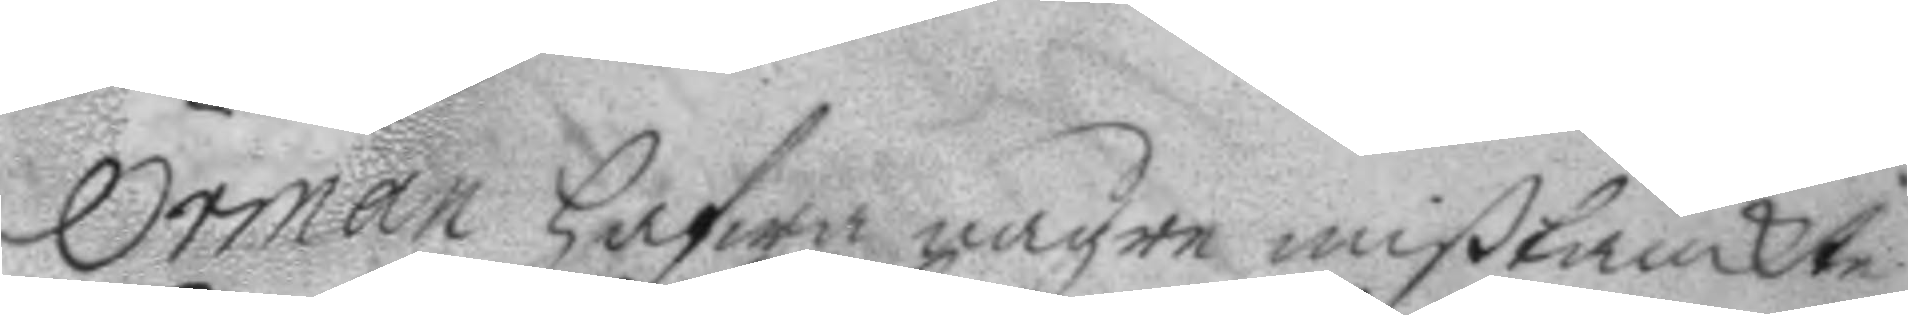Örman hafwa någre mißtänkte
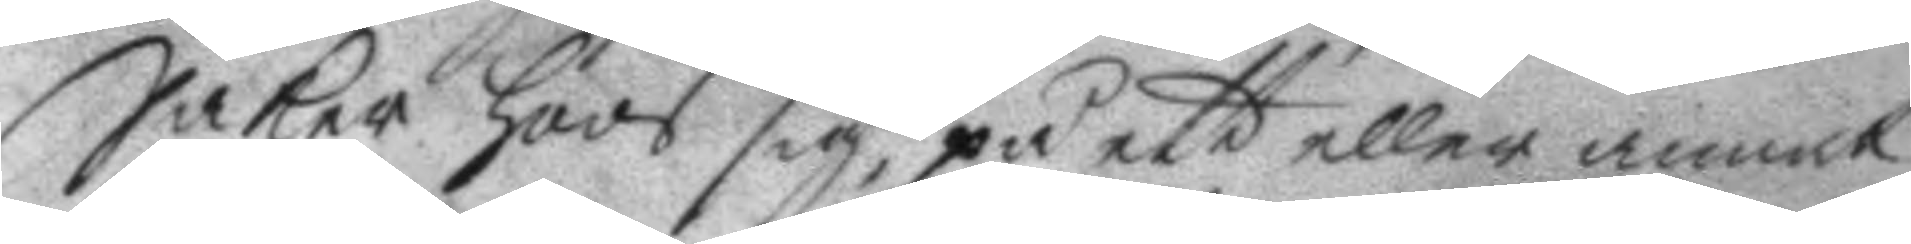Saker hoos sig, på ett eller annat
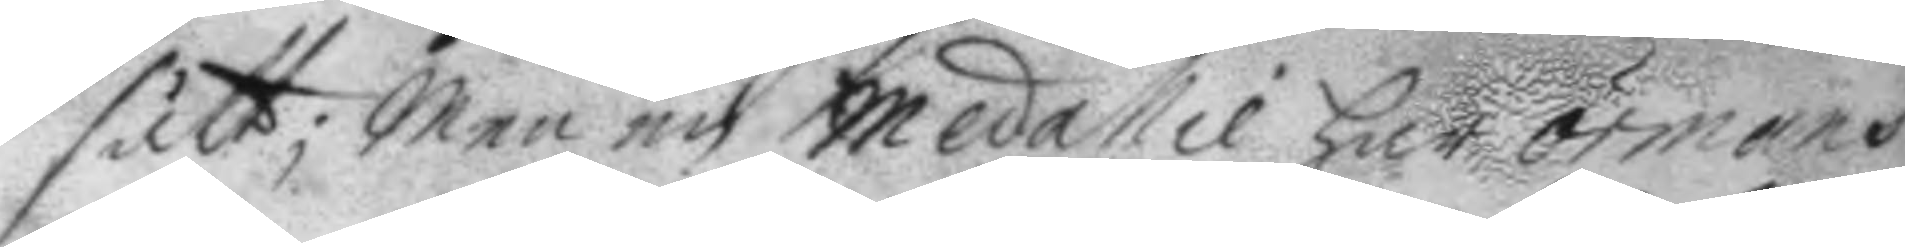sätt; men en Medallie har örmans
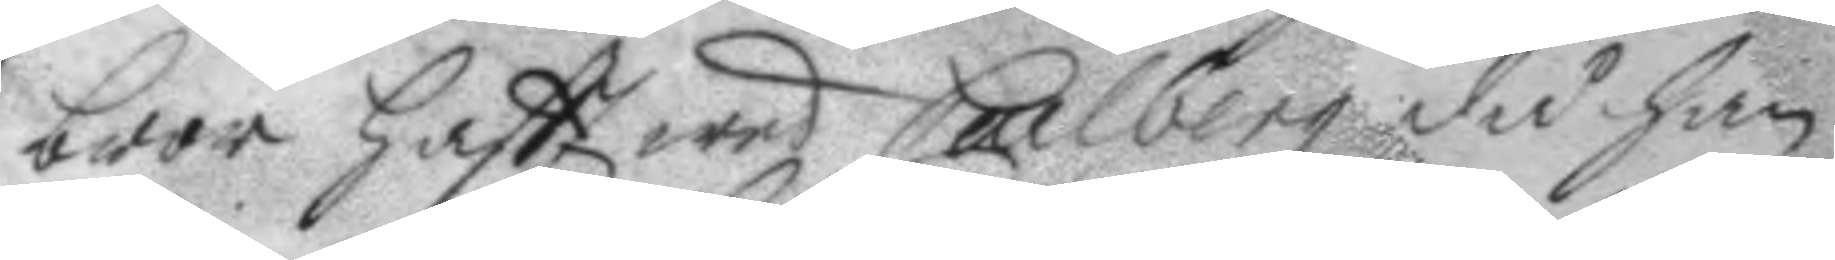bror haftt wed Carlberg då han
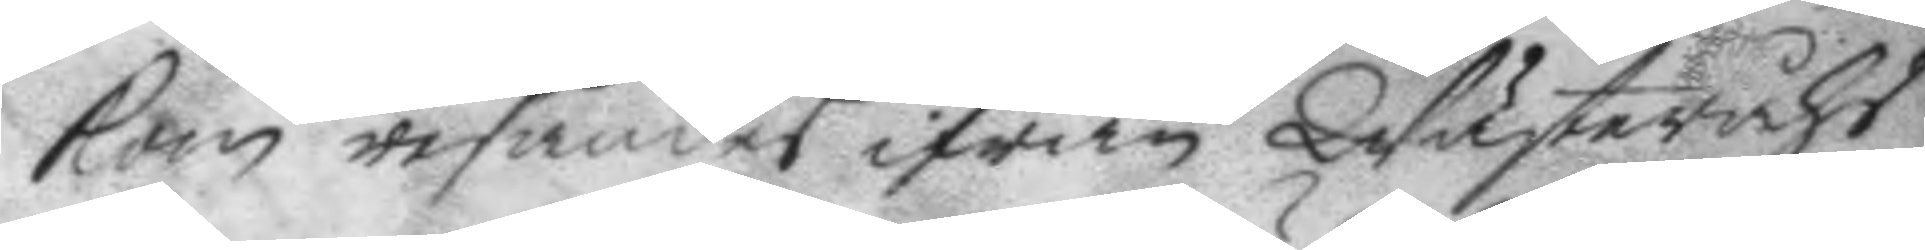kom resandes ifrån Wästeråhs
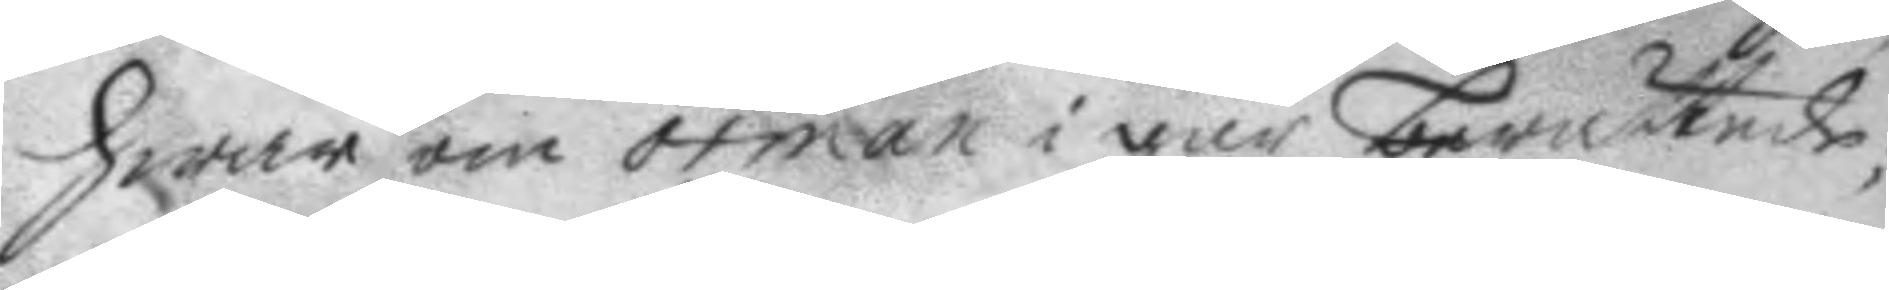hwar om örman i går berättade;
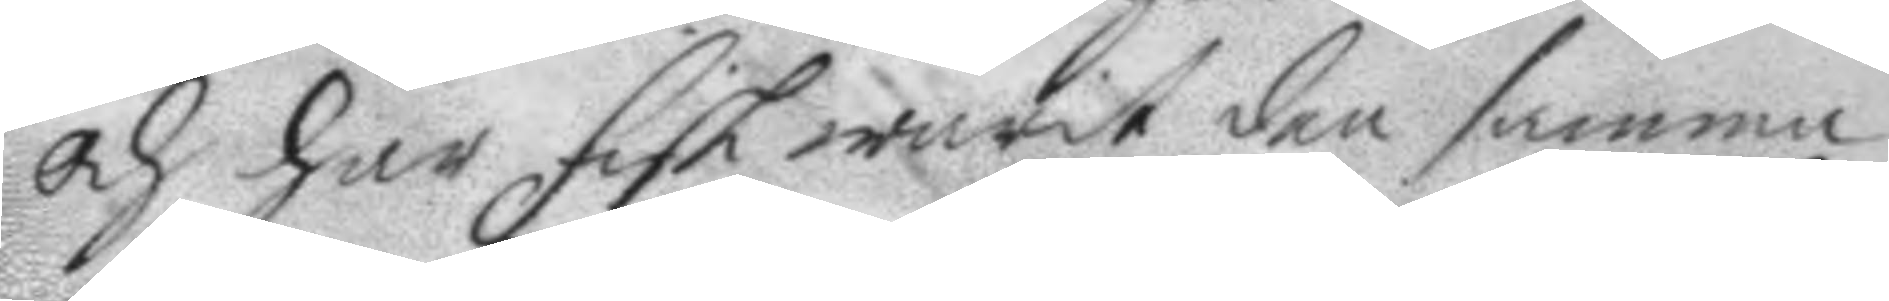och har fick warit den samma
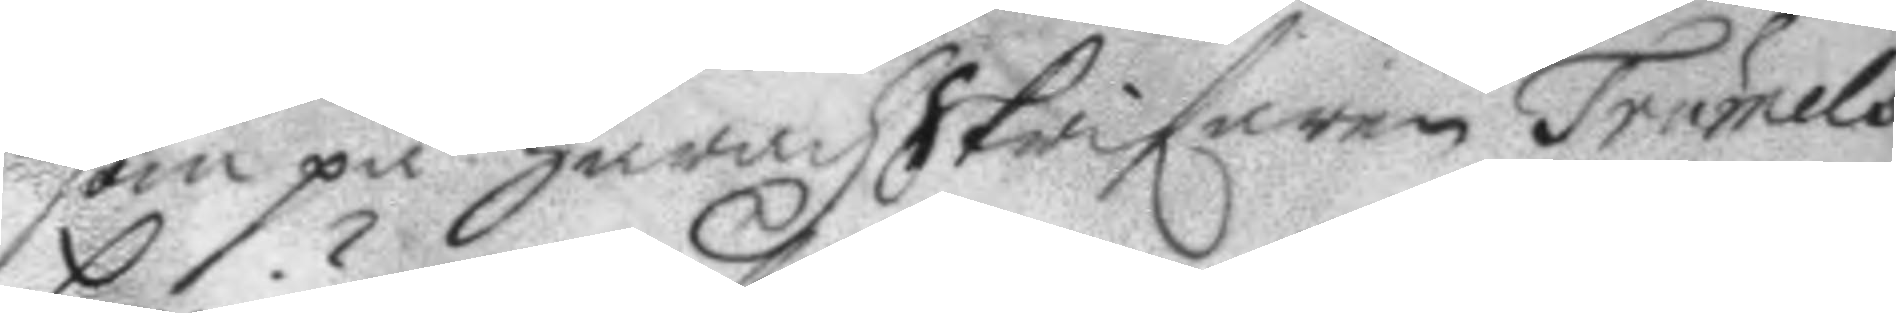som på häradzskrifaren Trumels
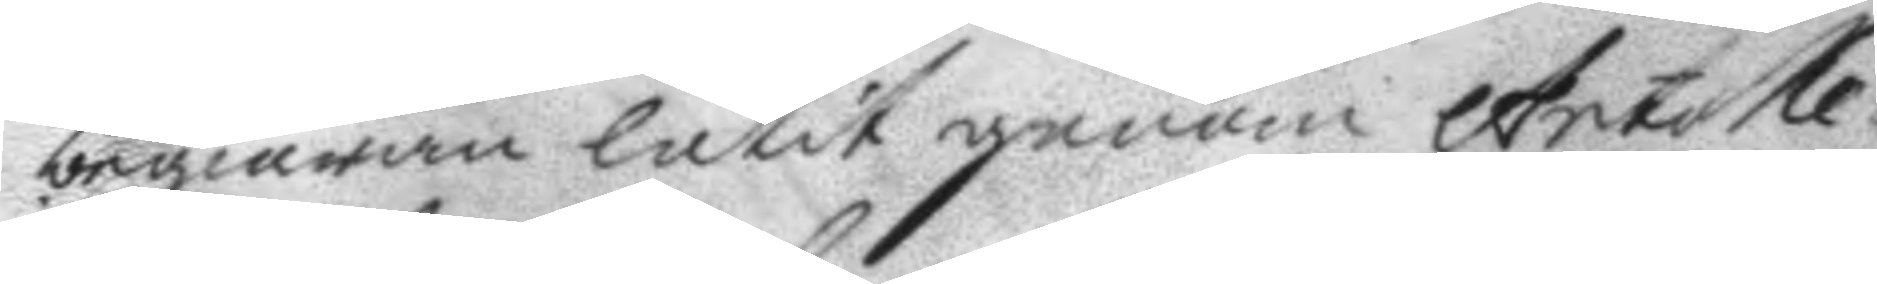begiäran låtit genom Artolle¬
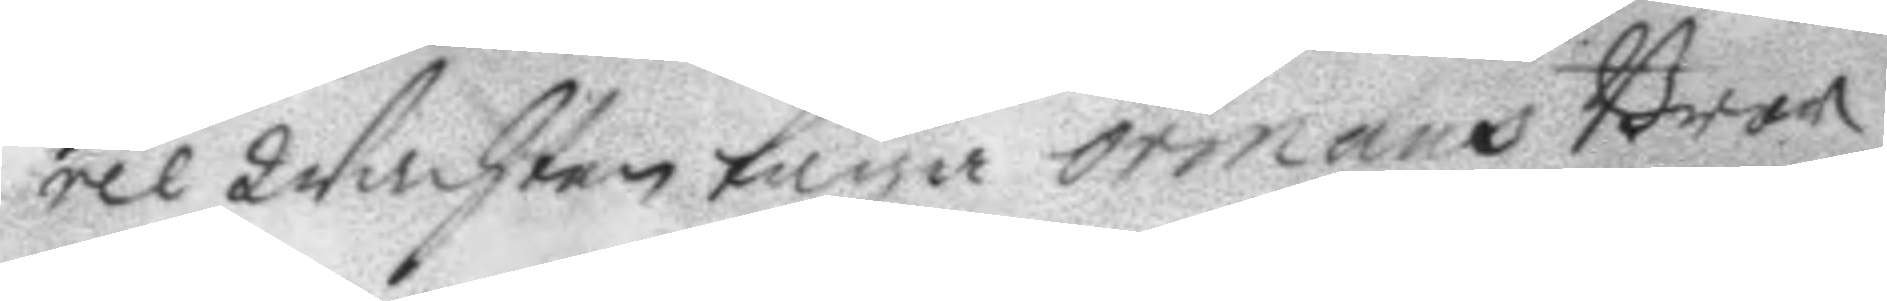rie Wachten taga örmans Bror
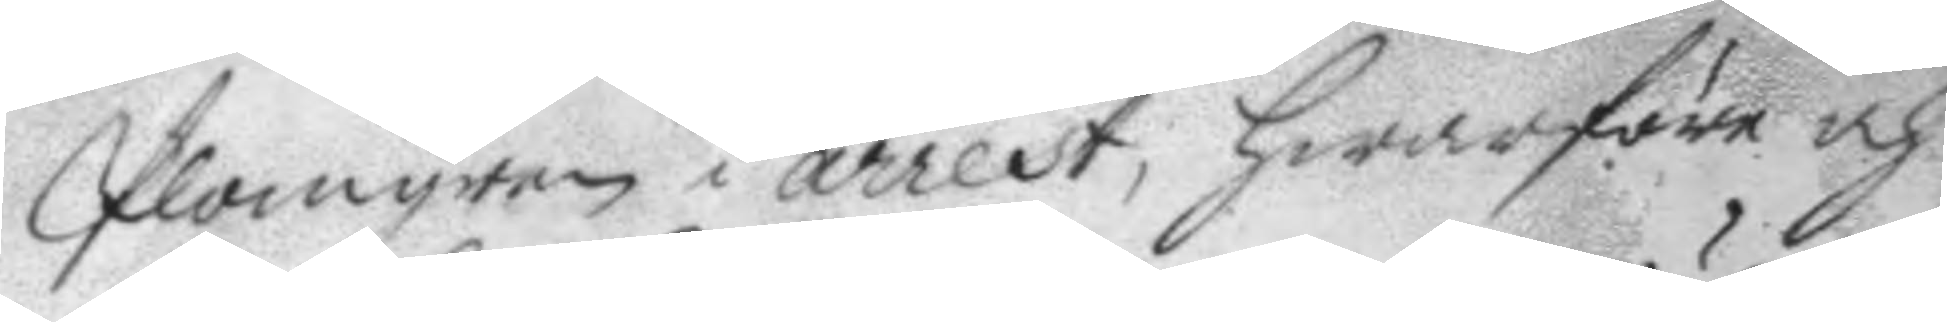Plomgren i arrest, hwarföre och
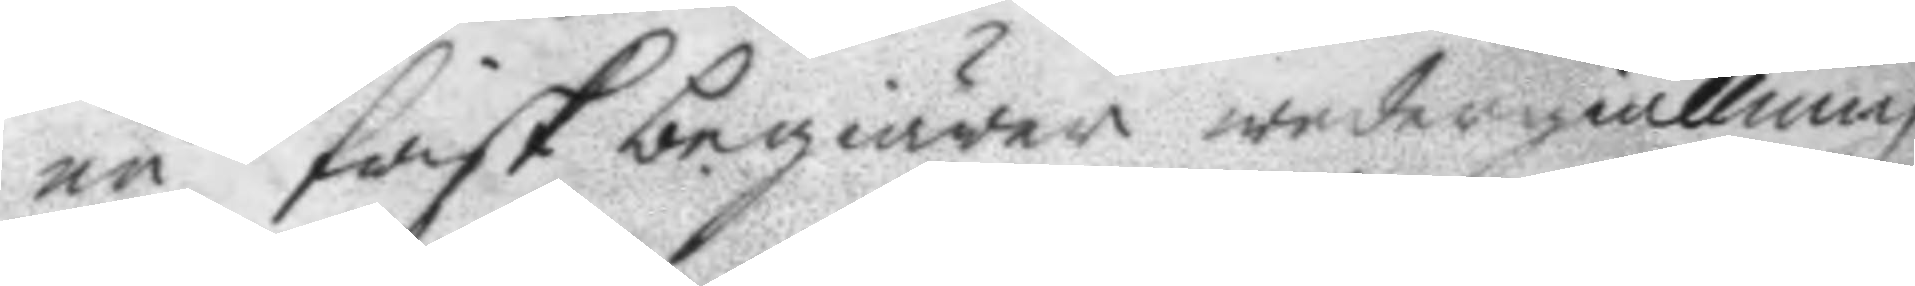nu frisk  begiärer wedergiällning
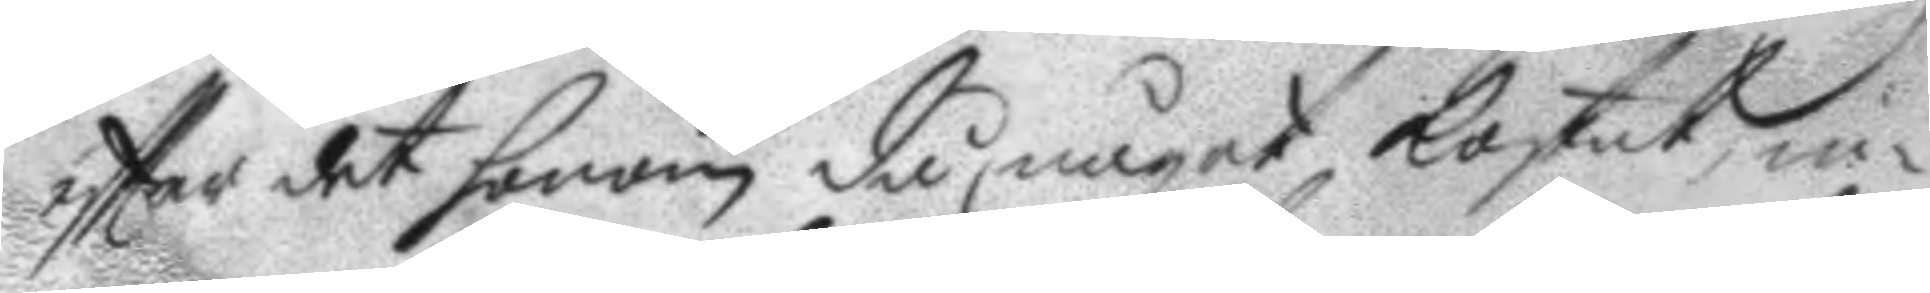eftter det honom då något kostat, in¬
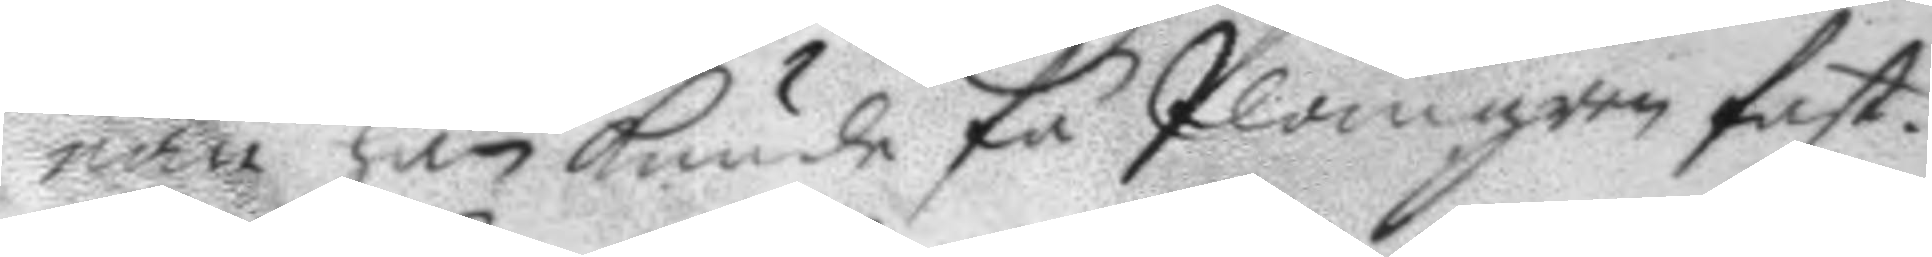nan han kunde få Plomgren fast.
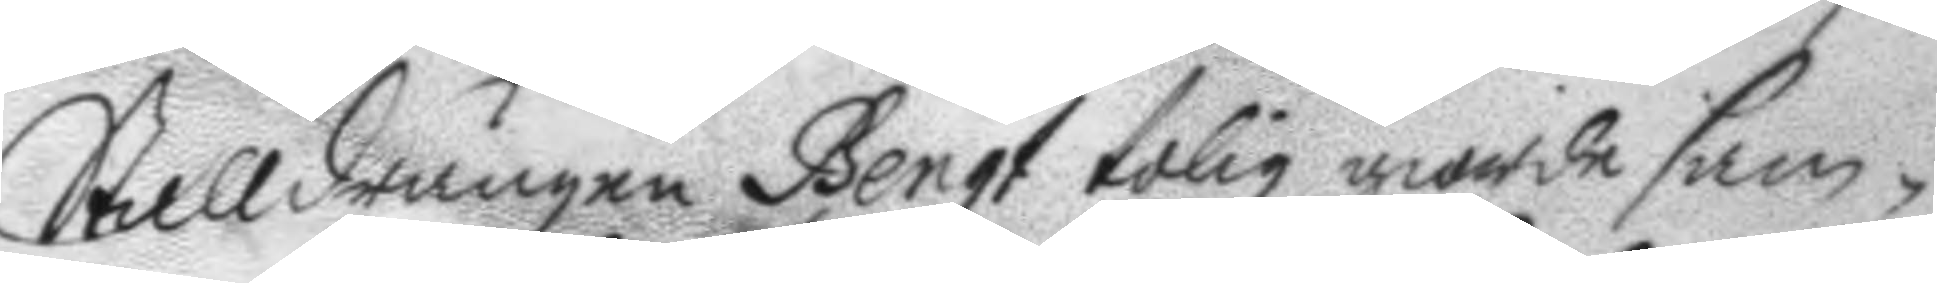Stalldrängen Bengt tolig giorde sam¬
